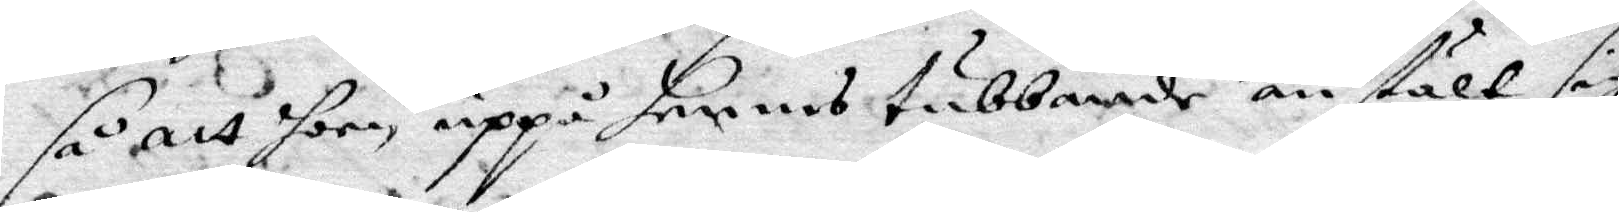så att hon uppå hennes tubbande anstält sig
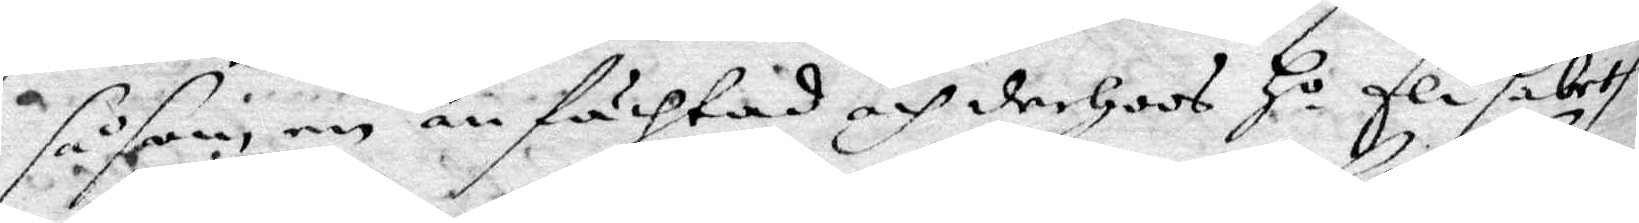såsom en anfächtad och derhoos Ho Elisabet
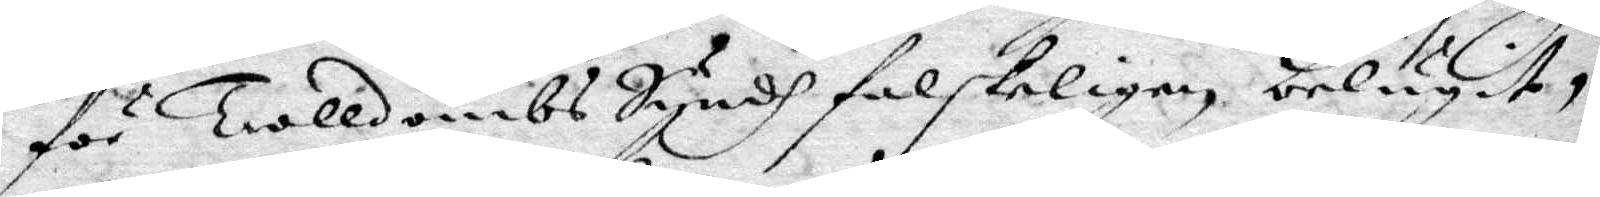för Trolldombs Syndh falskeligen belugit,
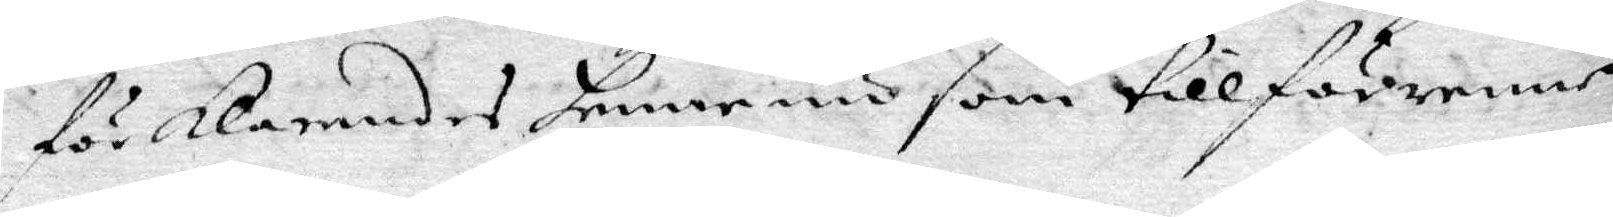förklarandes henne nu som tillförenne
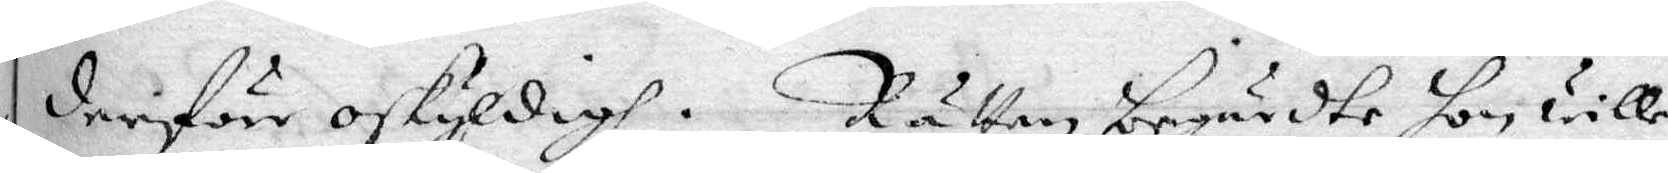derföre oskyldigh. Rätten begärdte hon wille
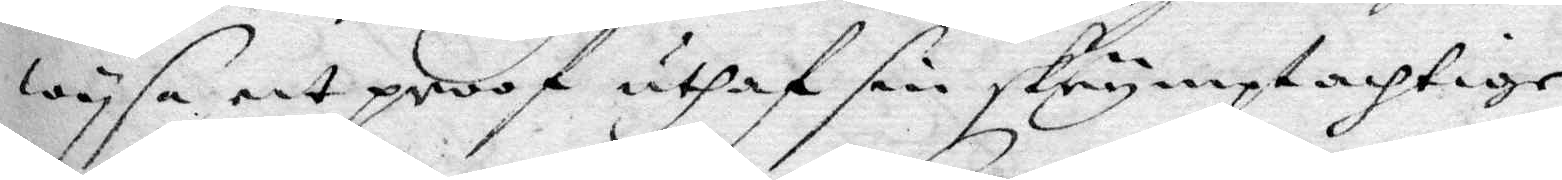wysa ett proof uthaf sin skrymptachtige
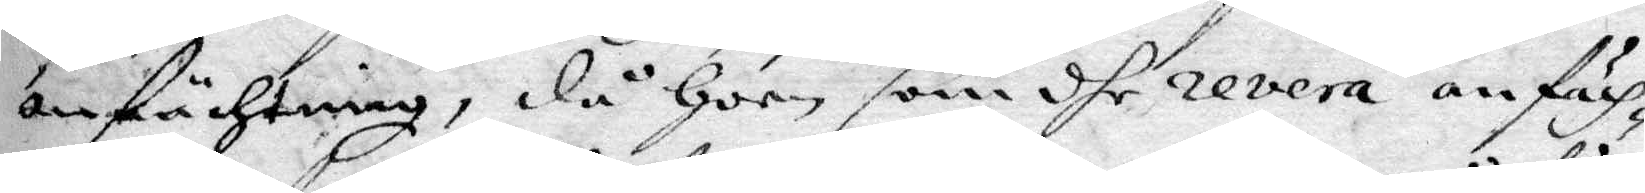anfächtning, då hoon som dhe revera anfäch¬
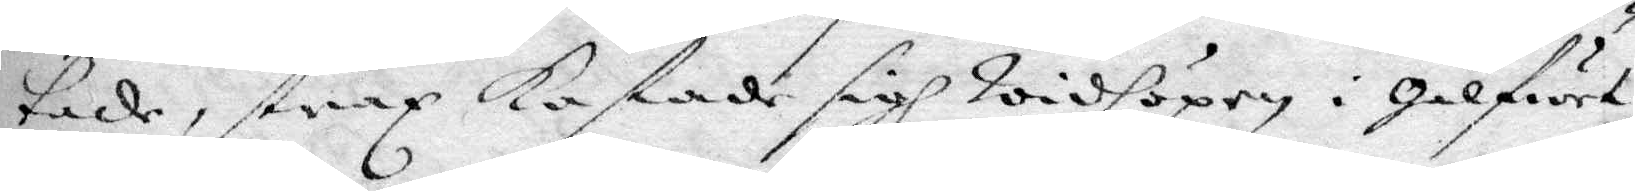tade, strax kastade sigh widhöpen i Gålfwet
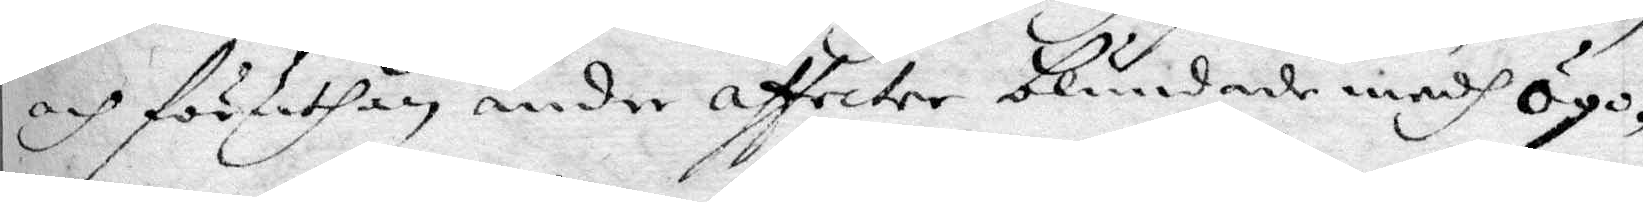och föruthan andre affecter blindade medh ögo¬
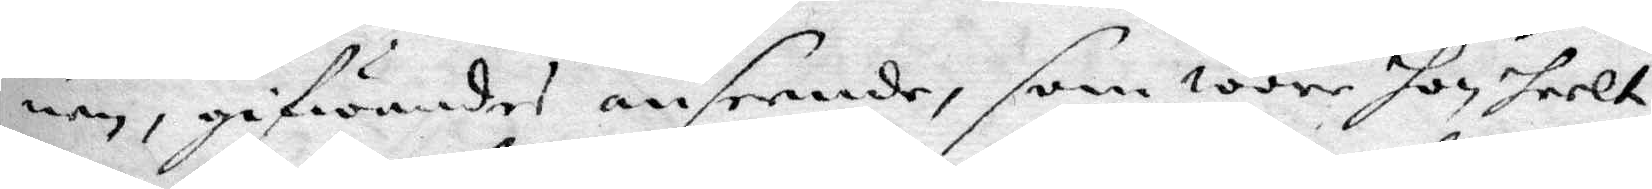nen, gifwandes anseende, som wore hon heelt
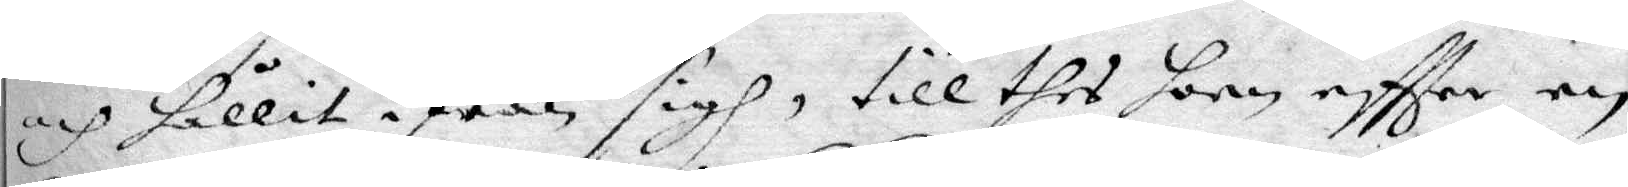och hållit ifrån sigh, till thes hon eftter en
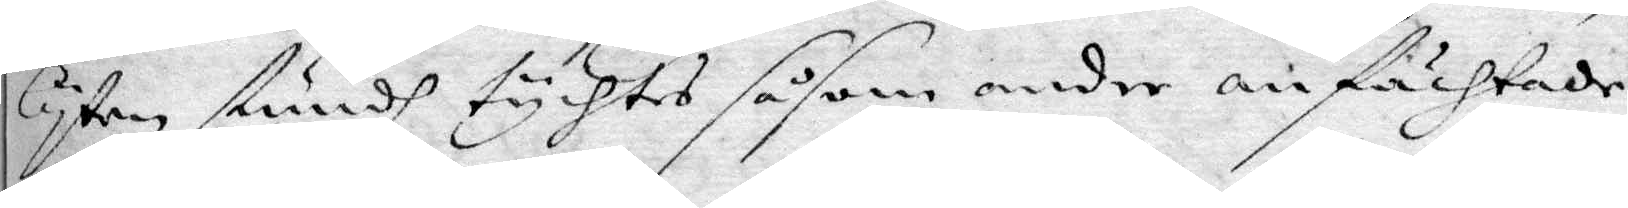lyten stundh tychtes såsom andre anfächtade,
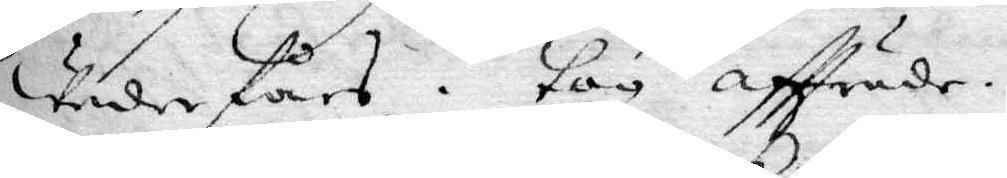Weder fårs. tog affträde.
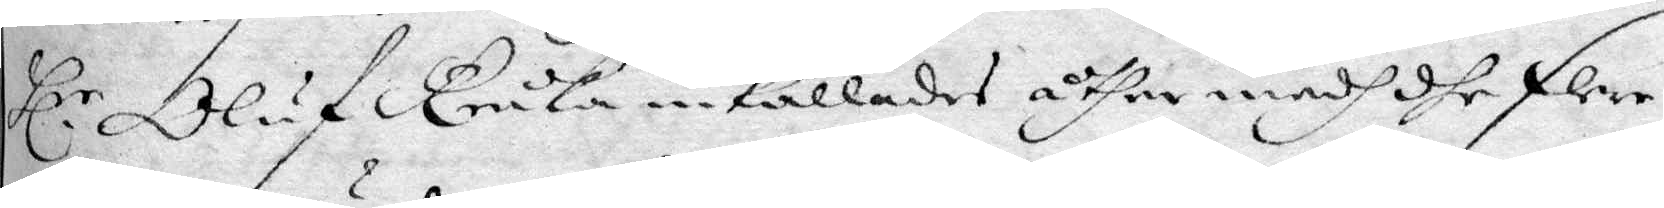Hl.r Oluf Kruka inkallades åther medh dhe flere 
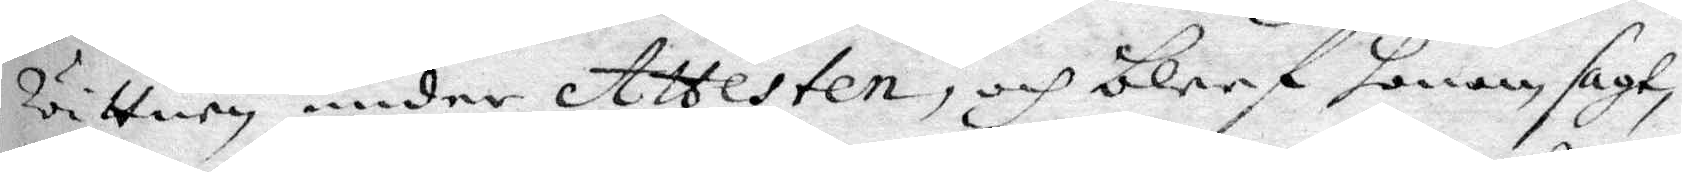wittnen under Attesten, och bleef honom sagt,
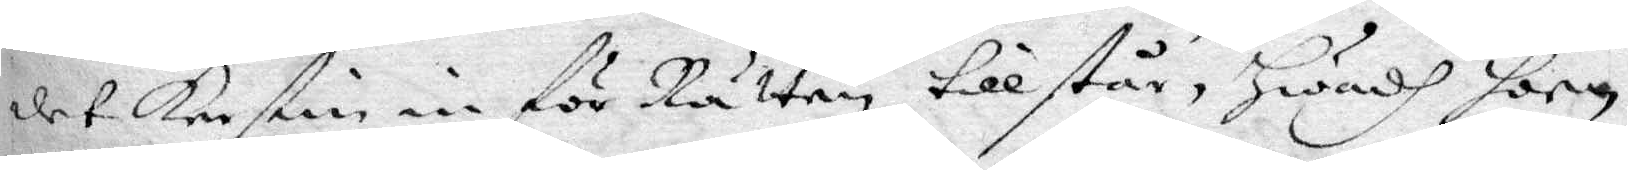det Kerstin in för Rätten tillstår, Hwadh hon
